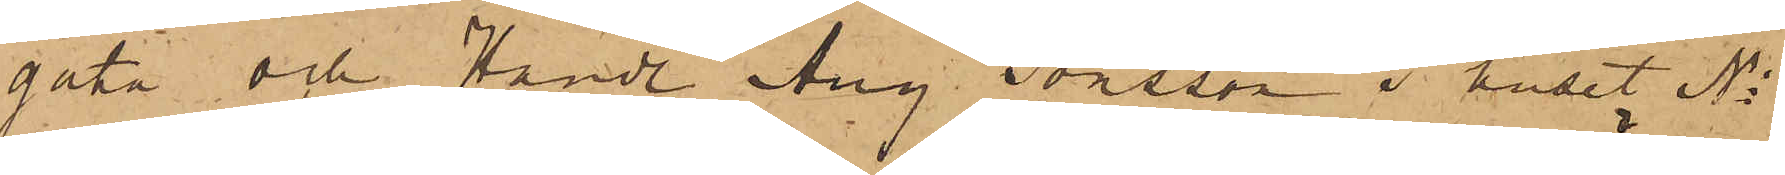gata och Handl. Aug. Jonsson i huset No
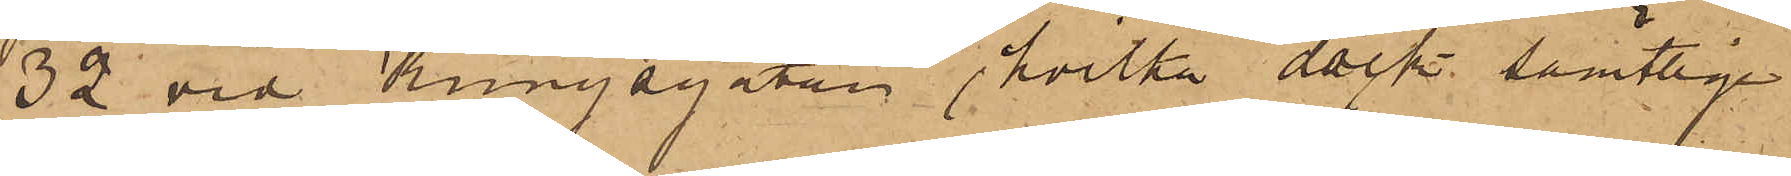32 vid Kungsgatan, hvilka dock samtlige
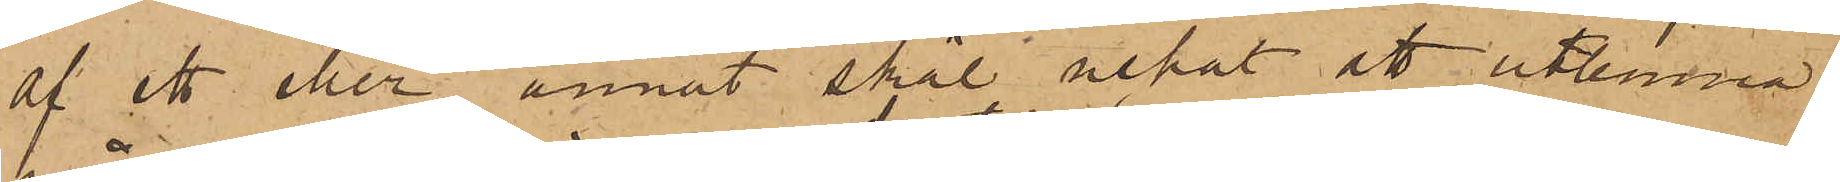af ett eller annat skäl nekat att utlemna
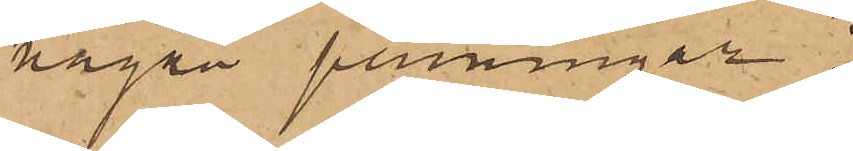några penningar;
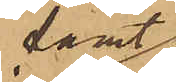samt
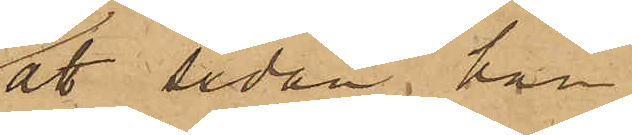att sedan han
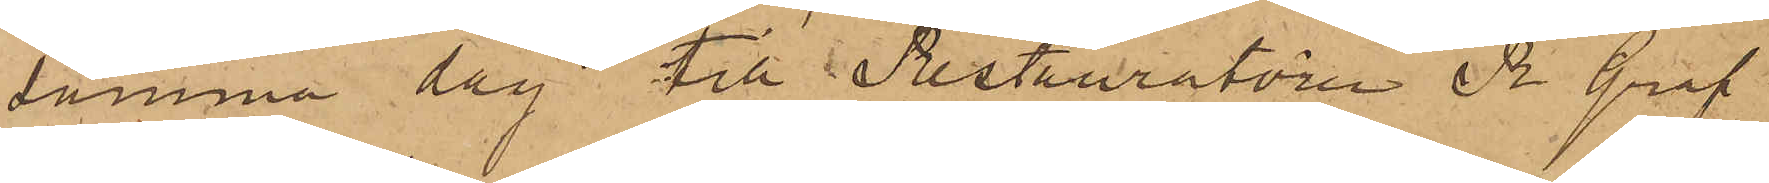samma dag till Restauratören R. Graf
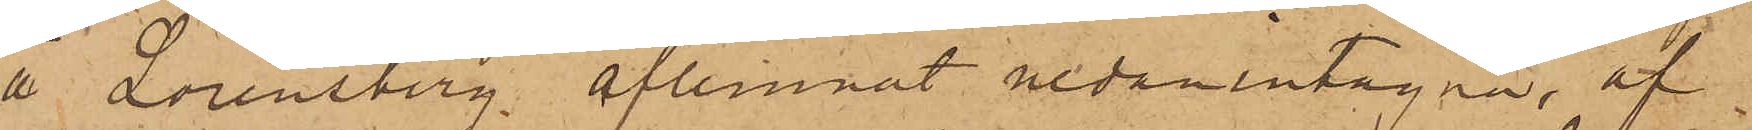å Lorensberg aflemnat nedanintagna, af
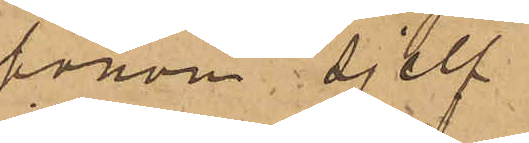honom sjelf
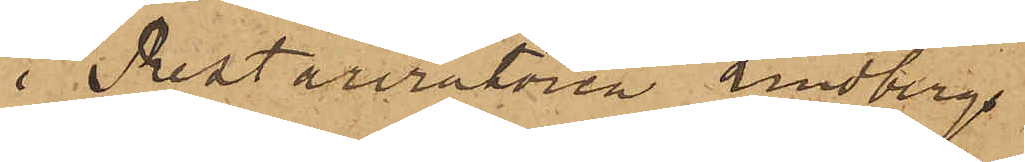i Restauratören Lindbergs
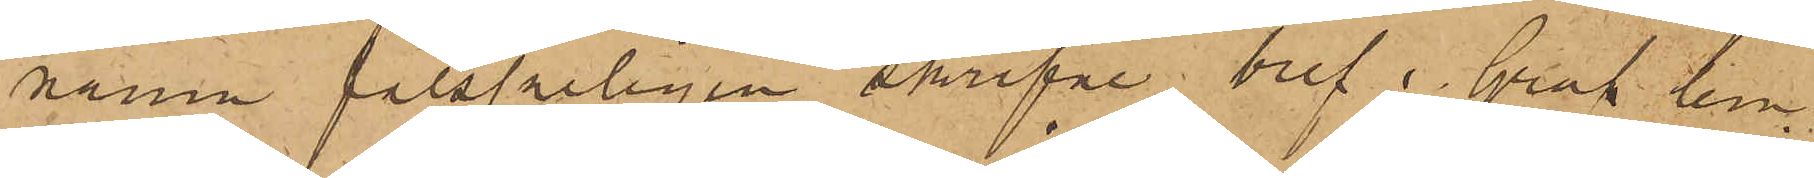namn falskeligen skrifne bref, Graf lem¬
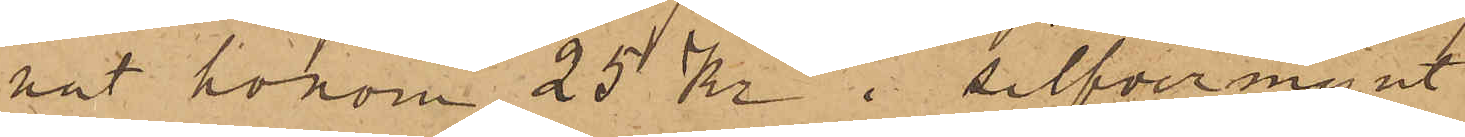nat honom 25 kr i silfvermynt
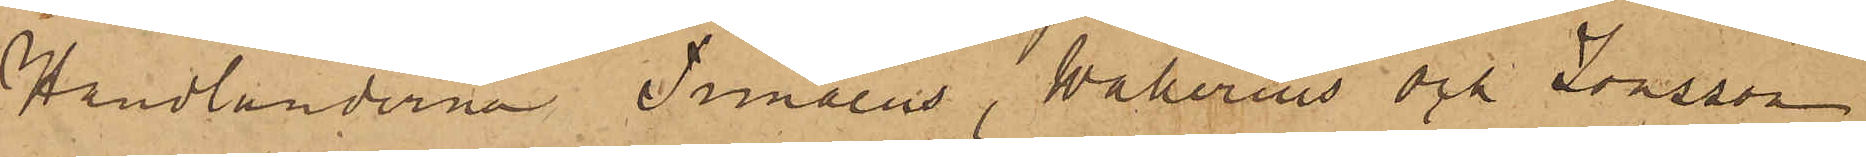Handlanderna Timaeus, Wallerius och Jonsson
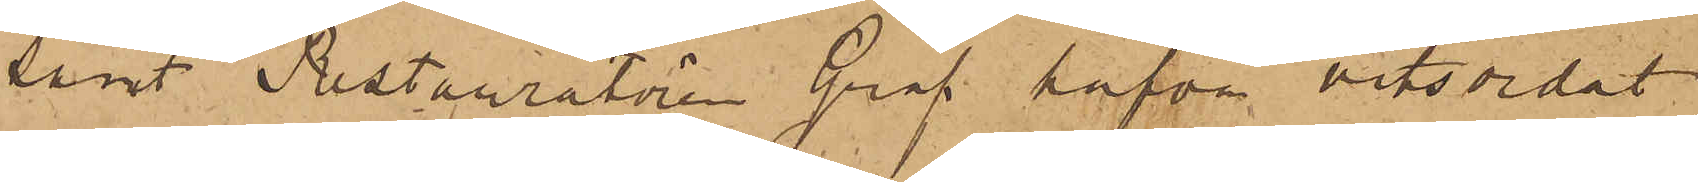samt Restauratören Graf hafva vitsordat
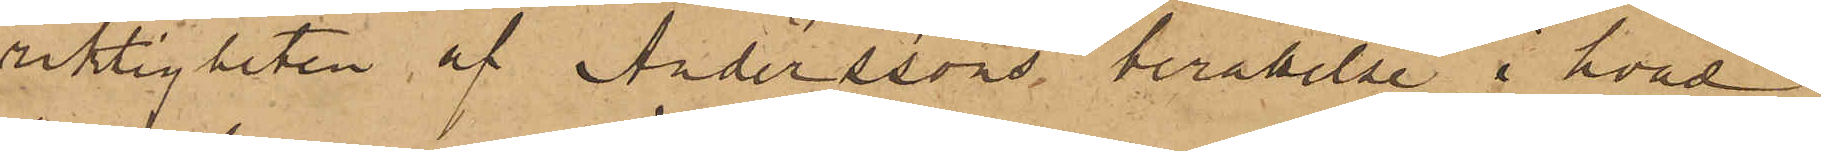riktigheten af Anderssons berättelse i hvad
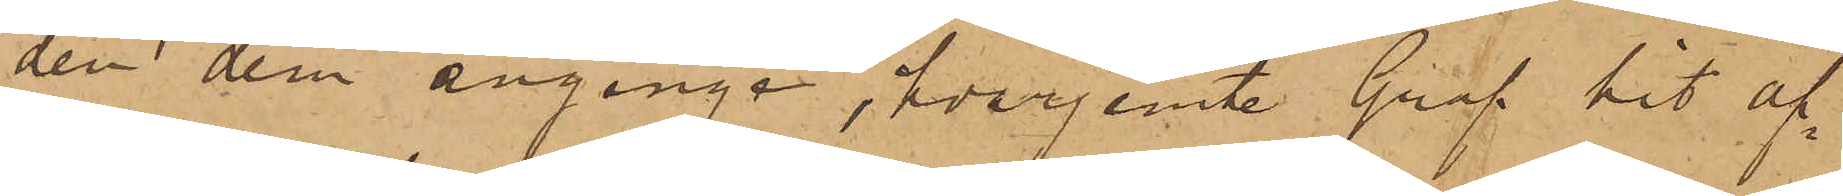den dem anginge, hvarjemte Graf hit af¬
